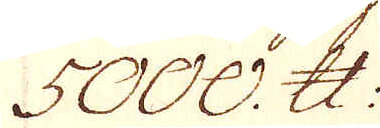5000. skålpund.
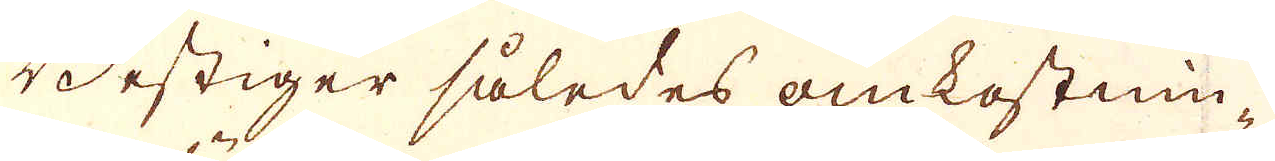Bestiger således omkostnin-
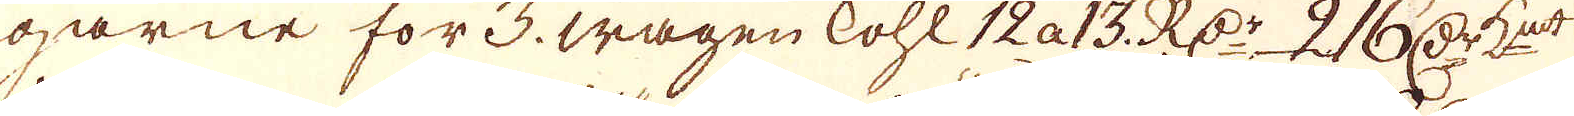garne för 3. wagen kohl 12 a 13. RD:r 2 16 Dr K:mt
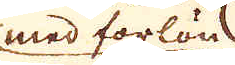med förlön
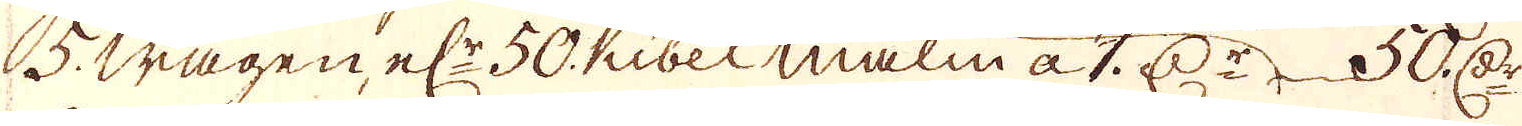5. wagen el:r 50. Kibel malm a 1 D:r 50 D:r
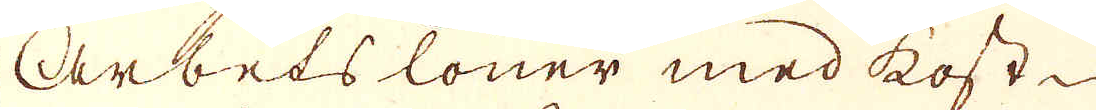Arbets löner med kost
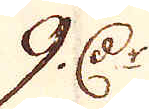9 Dr
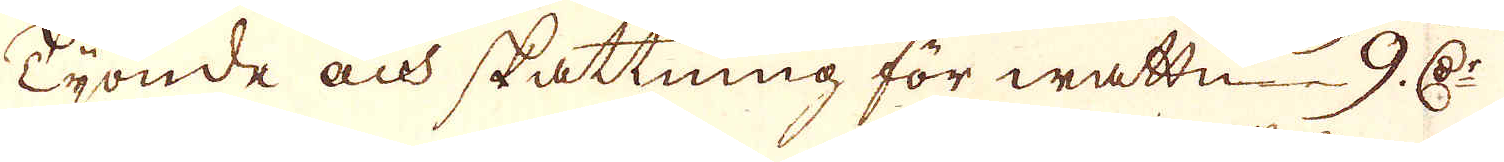Tijonde och skattning för wattn 9. D:r
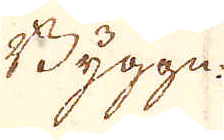Byggn
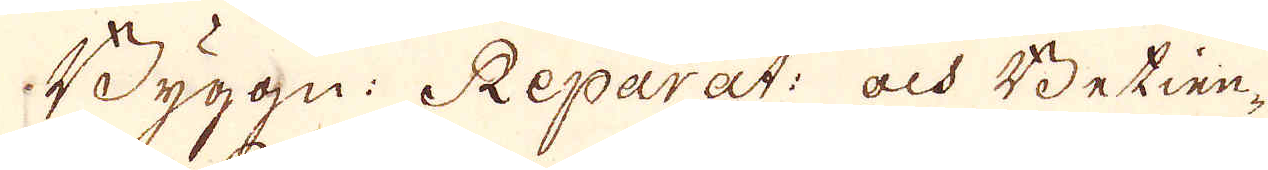Byggn: Reparat: och Betien-
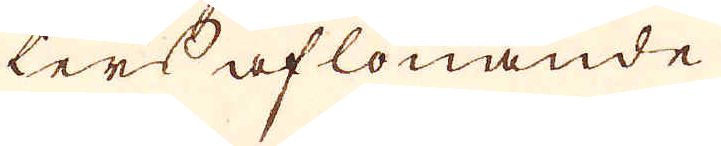ters aflönande
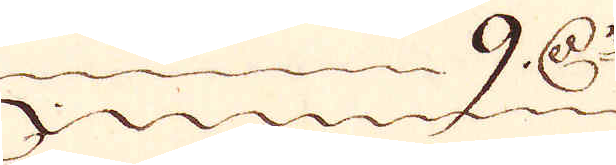9 D:r
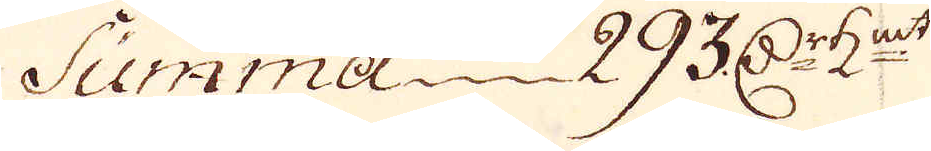Summa 293 D:r K:mt
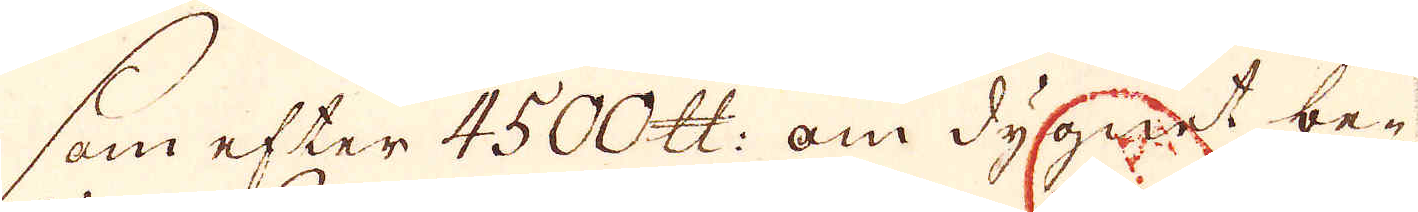som efter 4500. skålpund: om dygnet be-
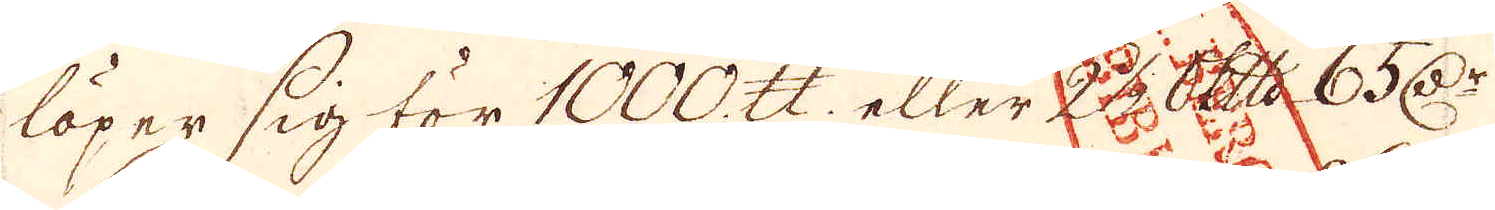löper sig för 1000. skålpund eller 26 Skeppund 65. D:r
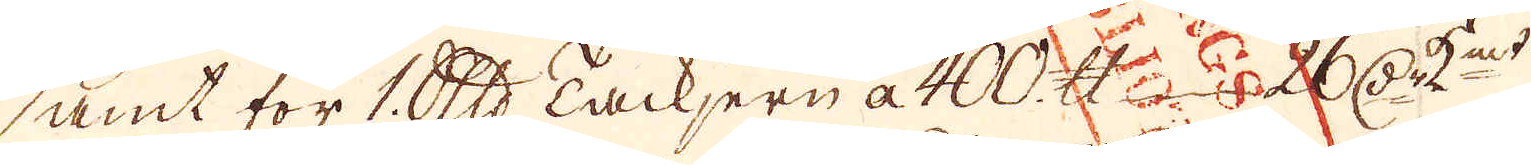samt för 1. Skeppunds Tackjern a 400. skålpund 26 D:r K:mt
